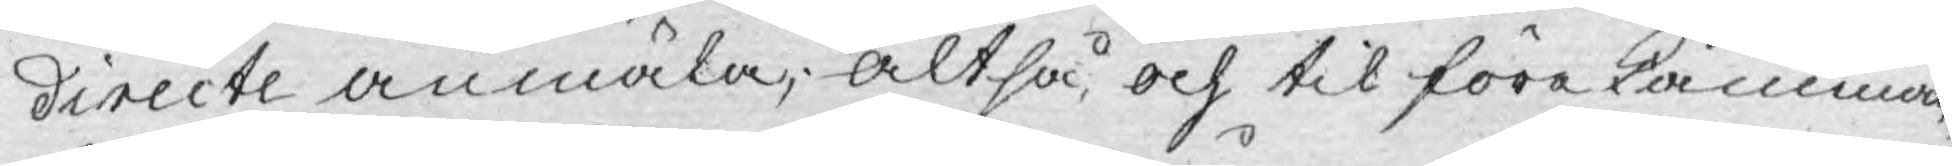directe anmäla; altså, och til förekåmman¬
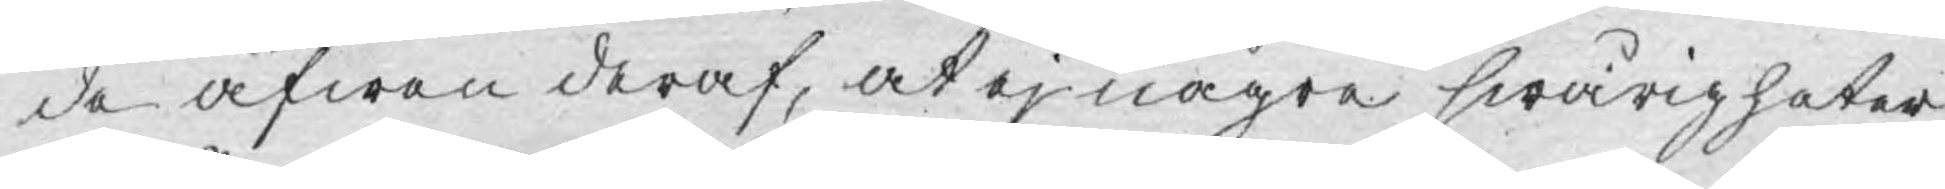de äfwen deraf, at ej några swårigheter,
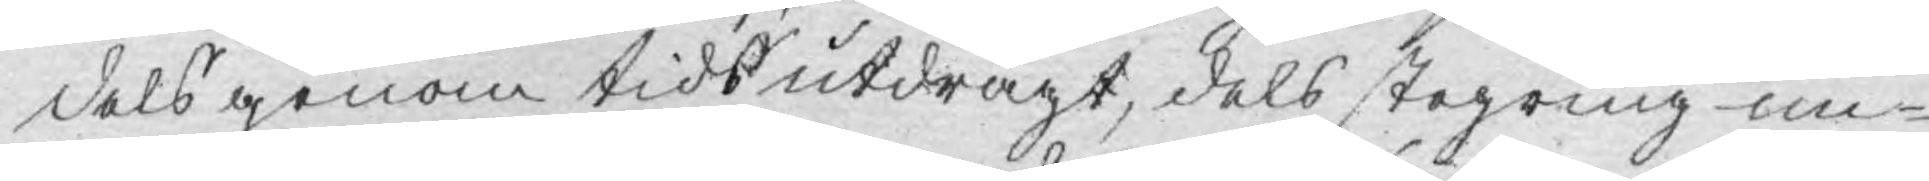dels genom tids utdrägt, dels stegring un¬
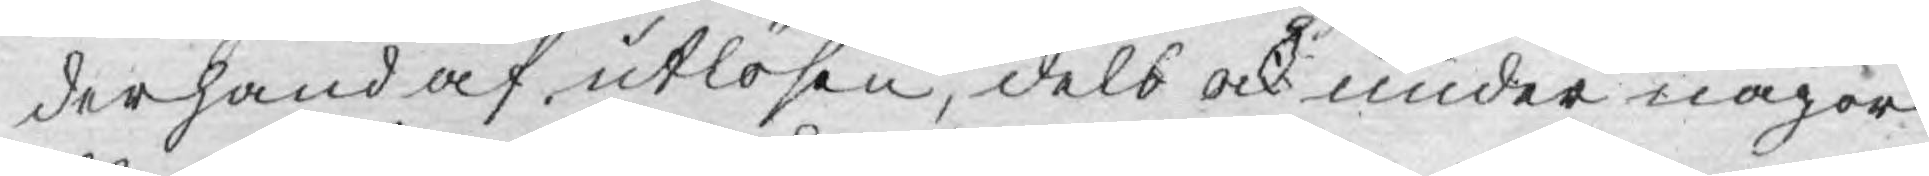derhand af utlösen, dels ock under någor
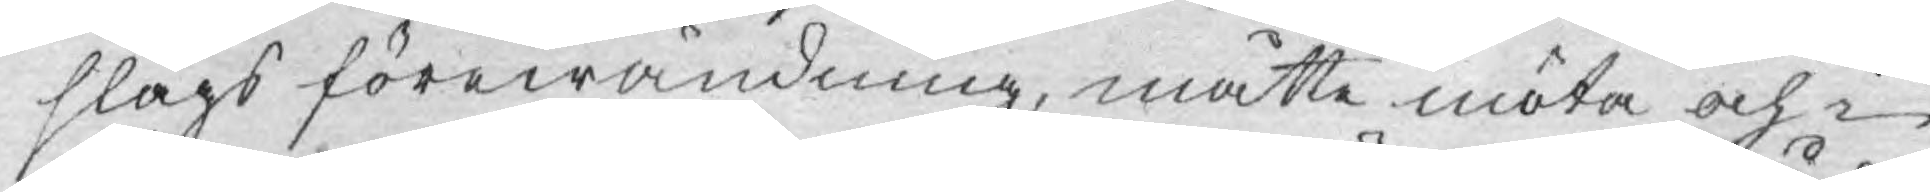slags förewändning, måtte möta och i
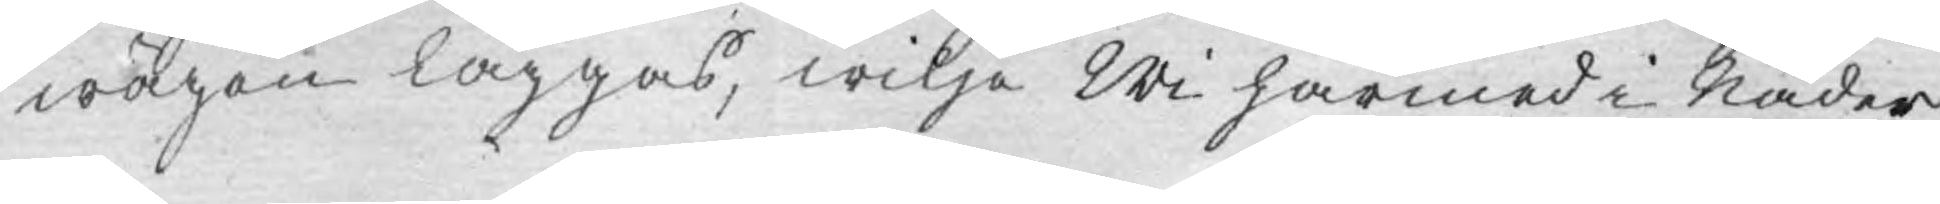wägen läggas, wilja Wi härmed i Nåder
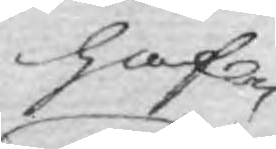haf¬
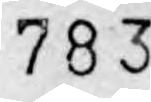783.
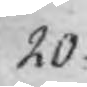20.
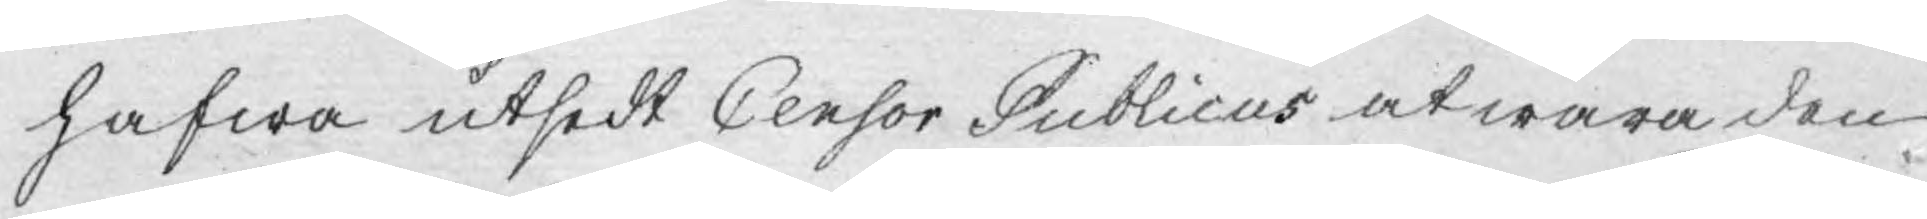hafwa utsedt Censor Publicus at wara den
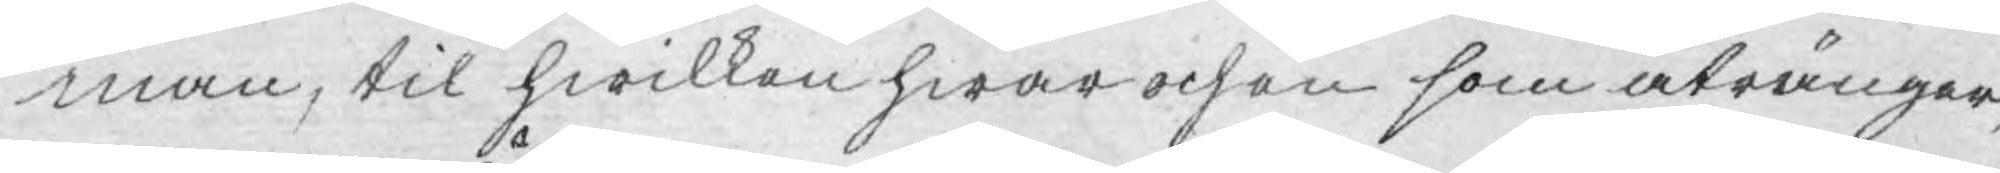man, til hwilken hwar och en som åtränger,
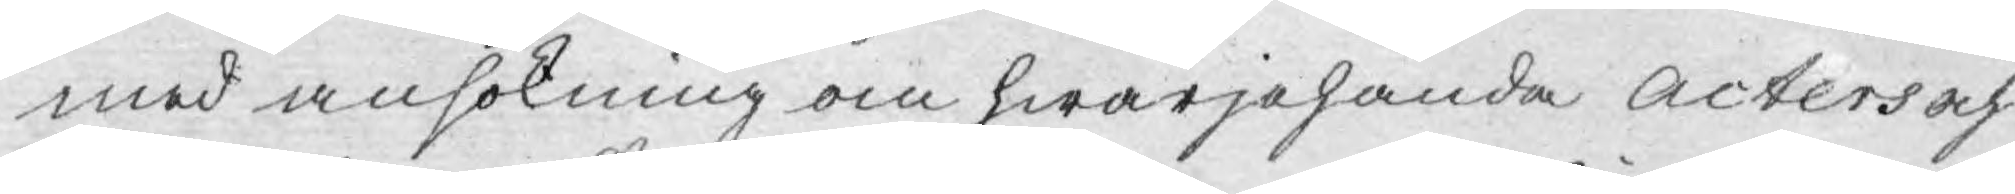med ansökning om hwarjehanda Acters och
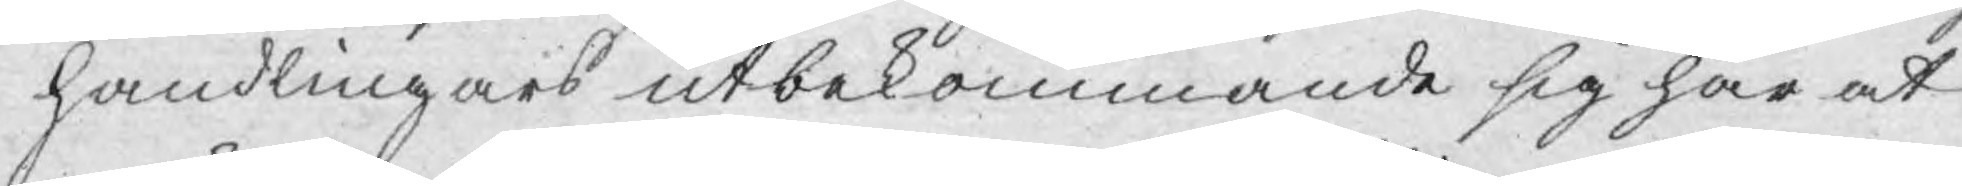handlingars utbekommande sig har at
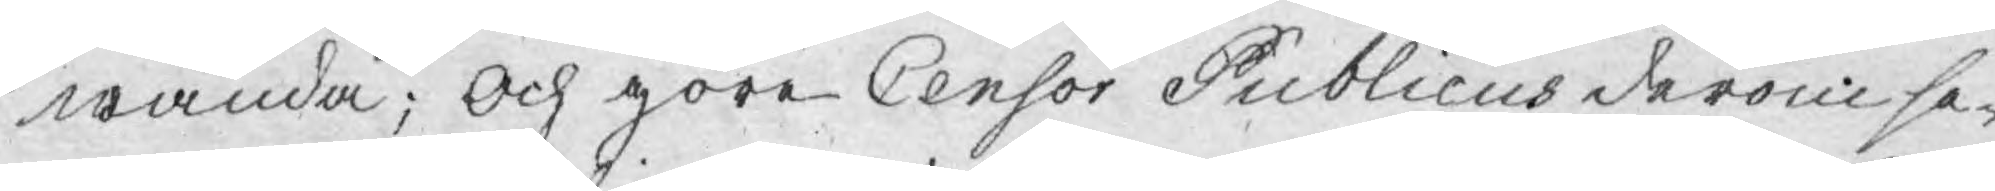wända; Och göre Censor Publicus derom se¬
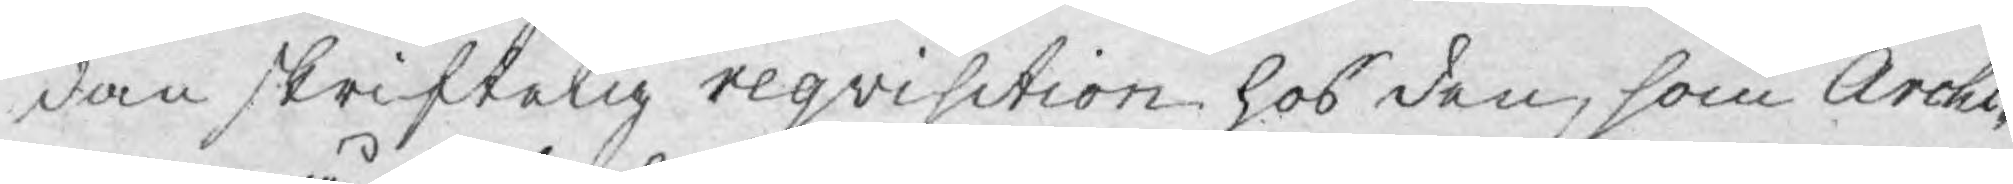dan skriftelig reqvisition hos den, som Archi¬
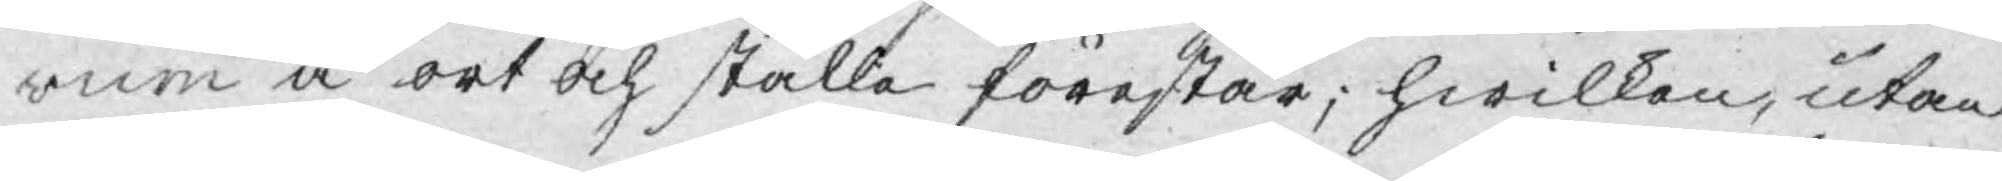vum å ort och ställe förestår; hwilken, utan
